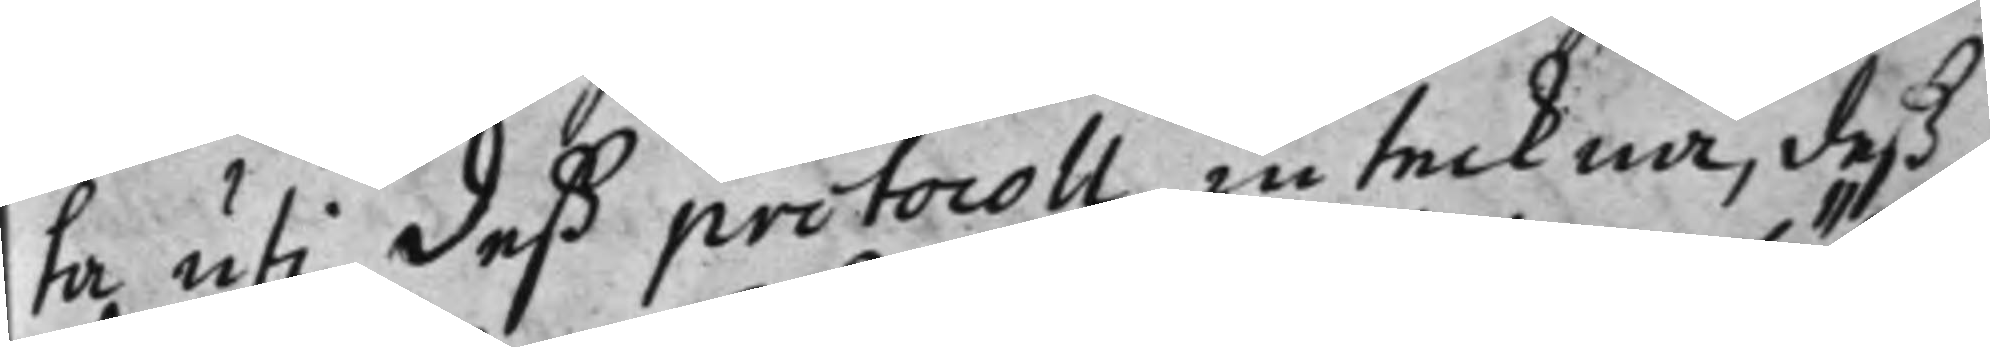ta uti deß protocoll inteckna, deß
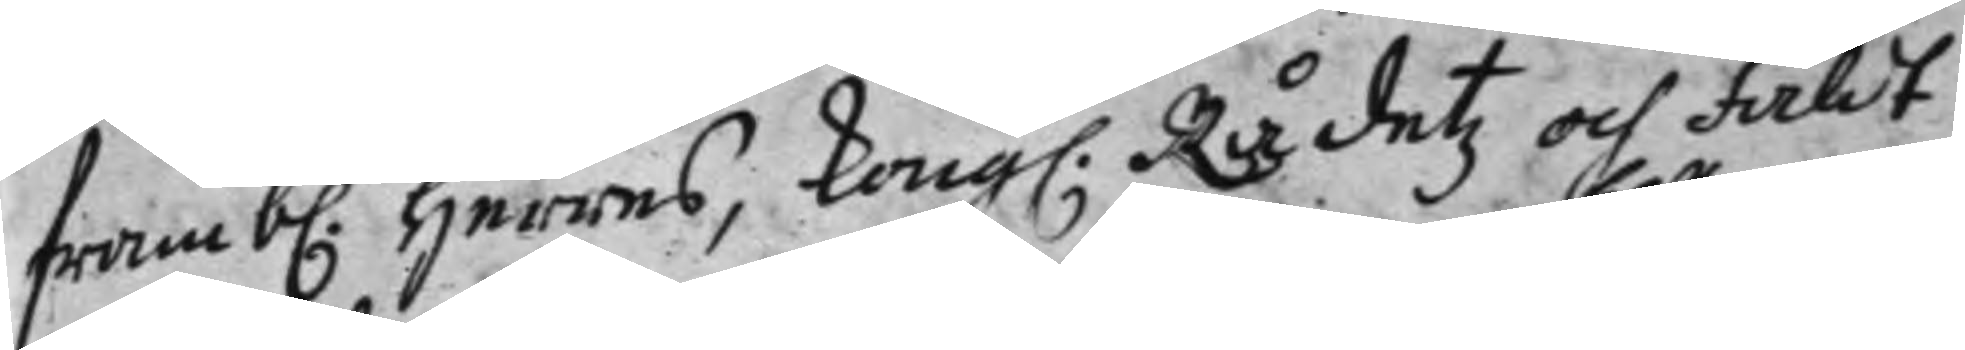framb. Herres, Kong. Rådetz och fäldt¬
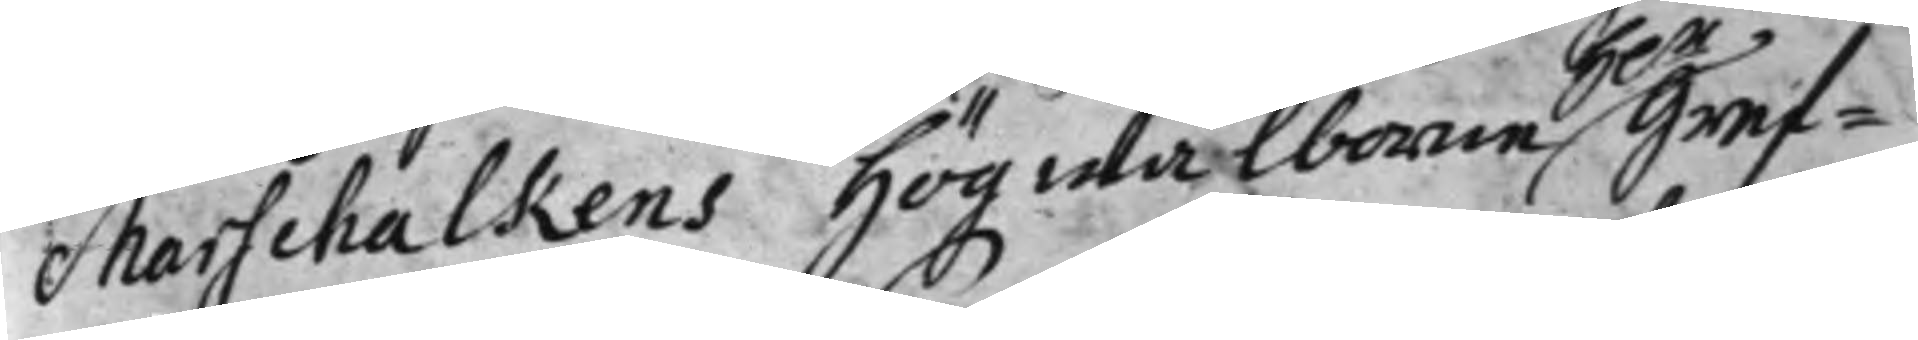Marschalkens Högwälborne Gref¬
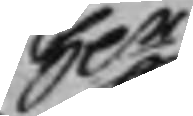H.r
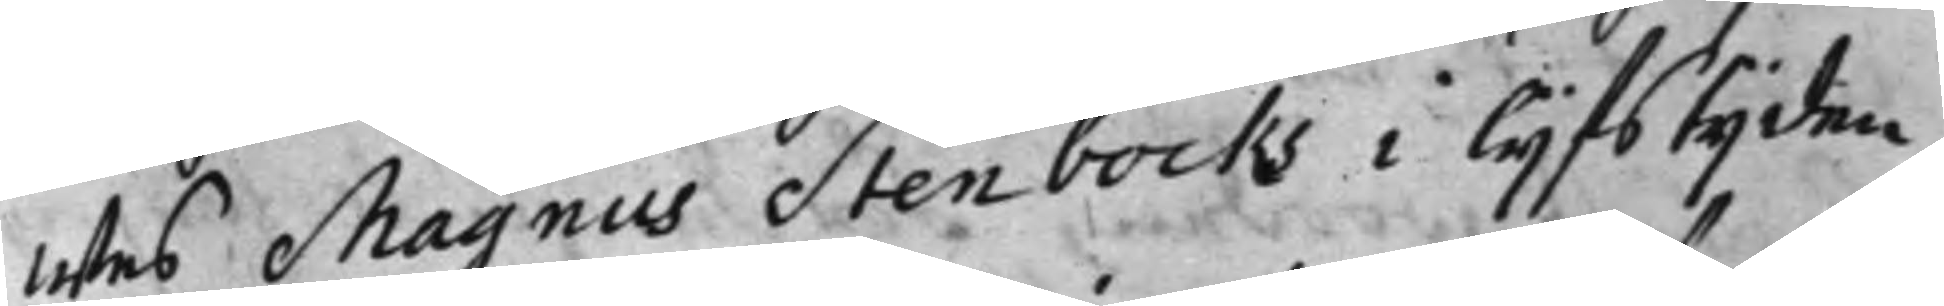wes Magnus Stenbocks i lijfstijden
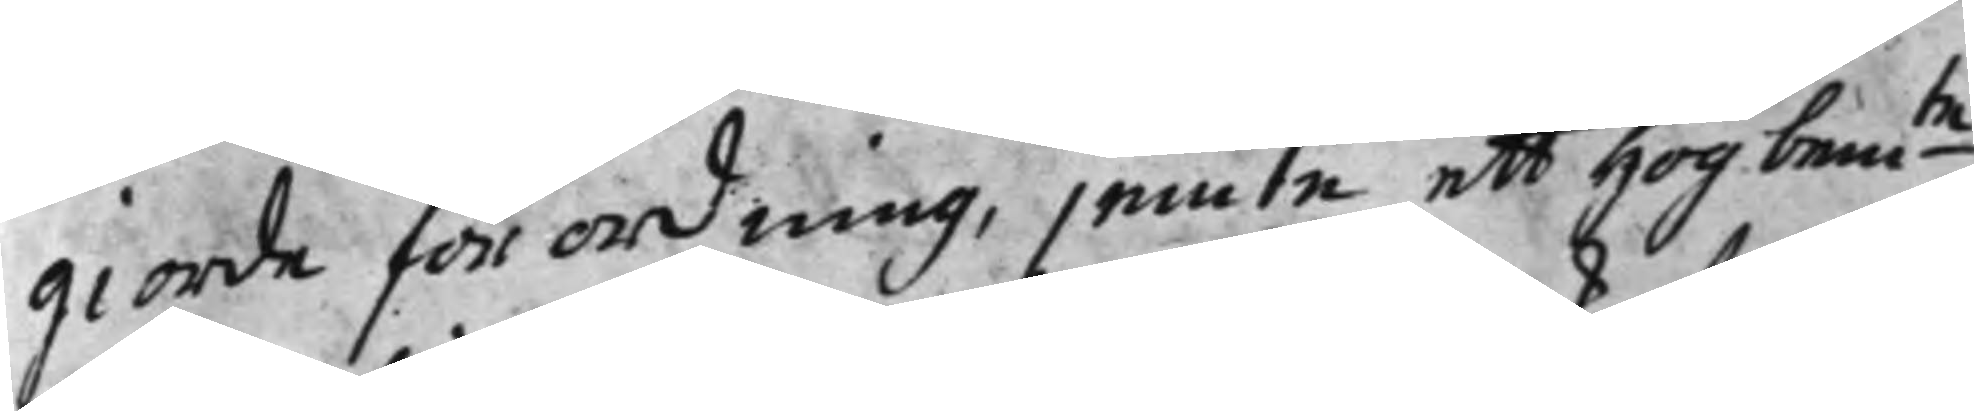giorde förordning, jemte ett högbem:te 
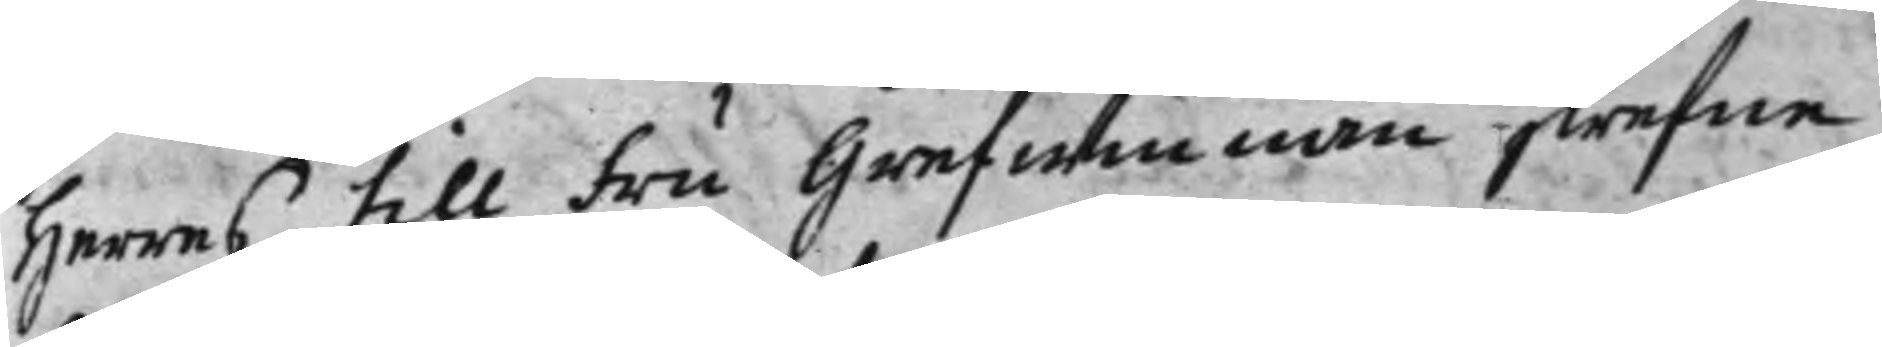Herres till Fru Grefwinnan skrefne
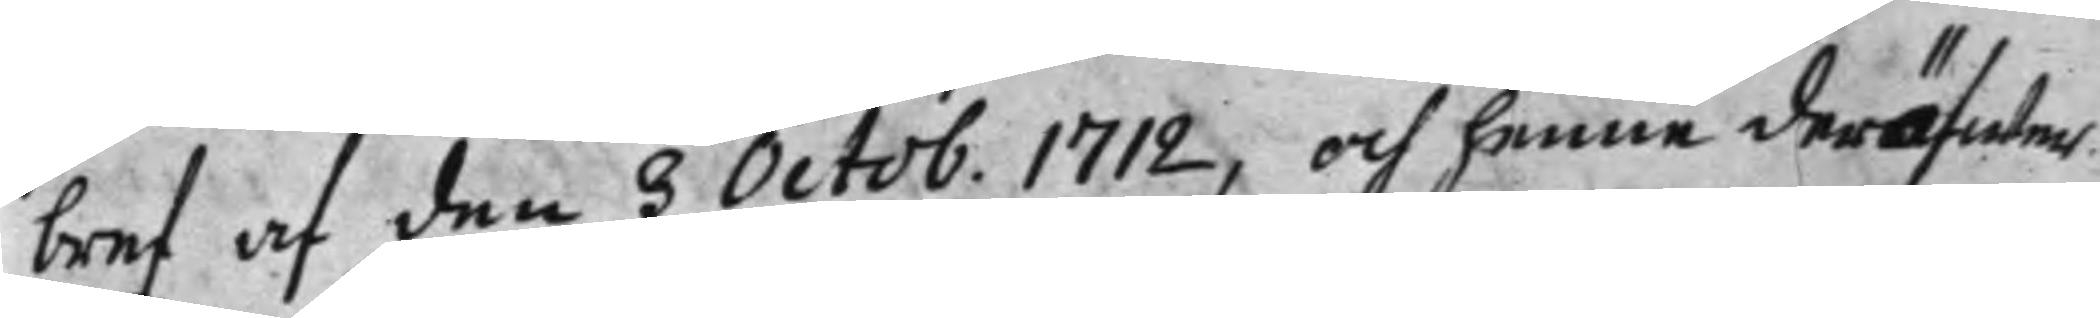bref af den 3 Octob. 1712, och henne deröfwer 
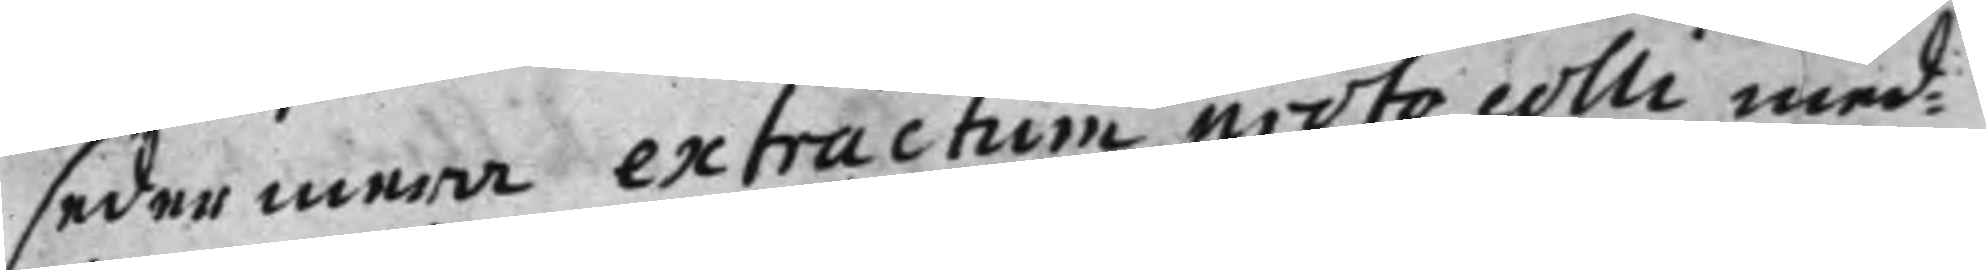sedermera extractum protocolli med¬
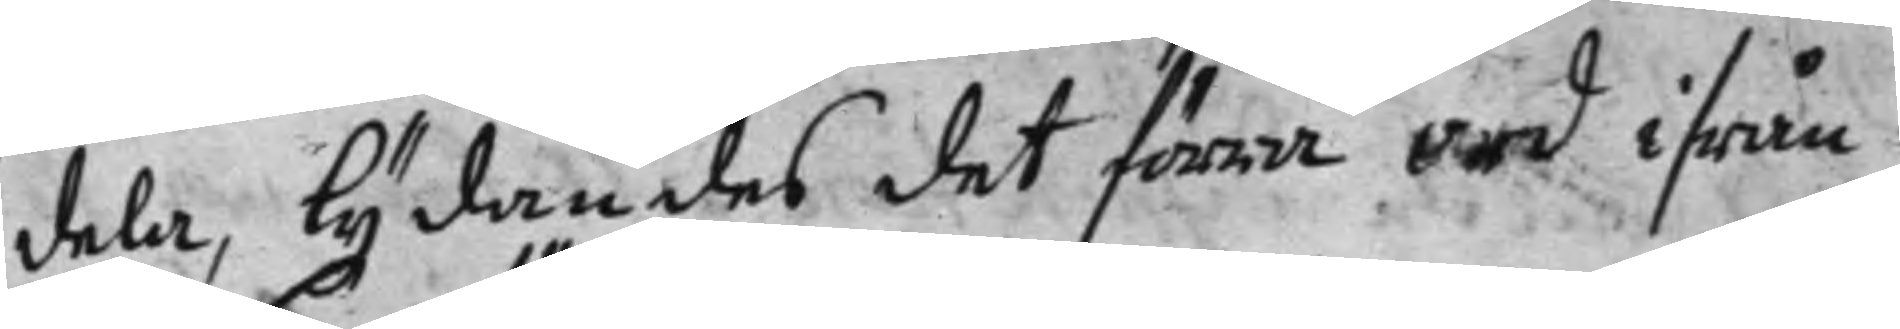dela, lydandes det förra ord ifrån
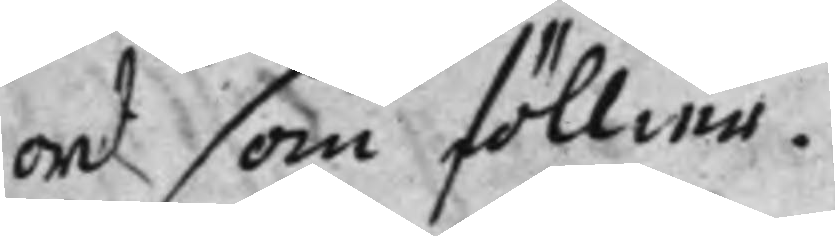ord som föllier.
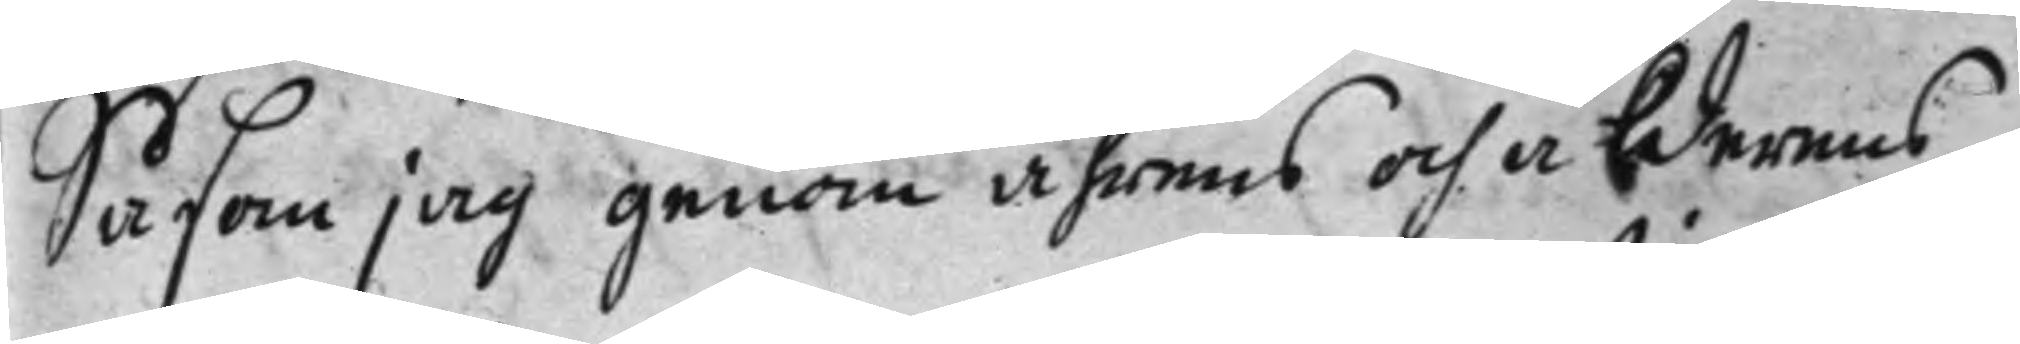Såsom jag genom åhrens och ålderens
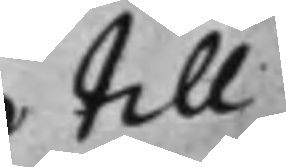till¬
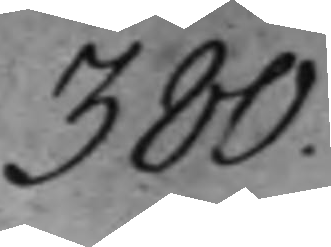380.
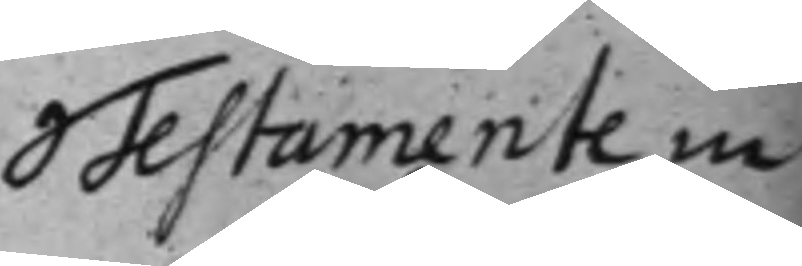Testamente in¬
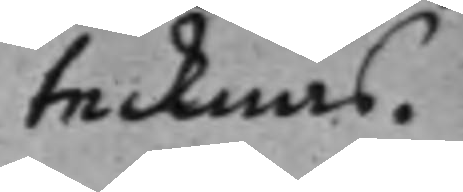tecknas.
